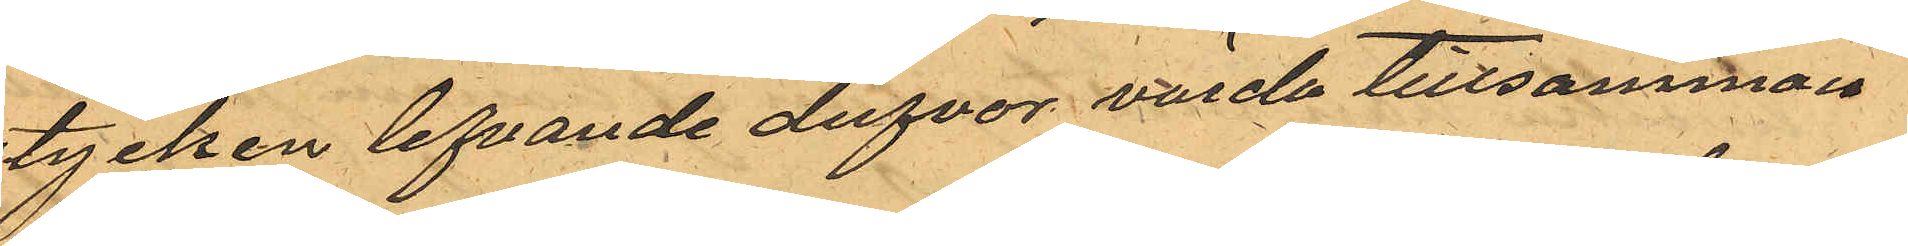stycken lefvande dufvor värda tillsamman
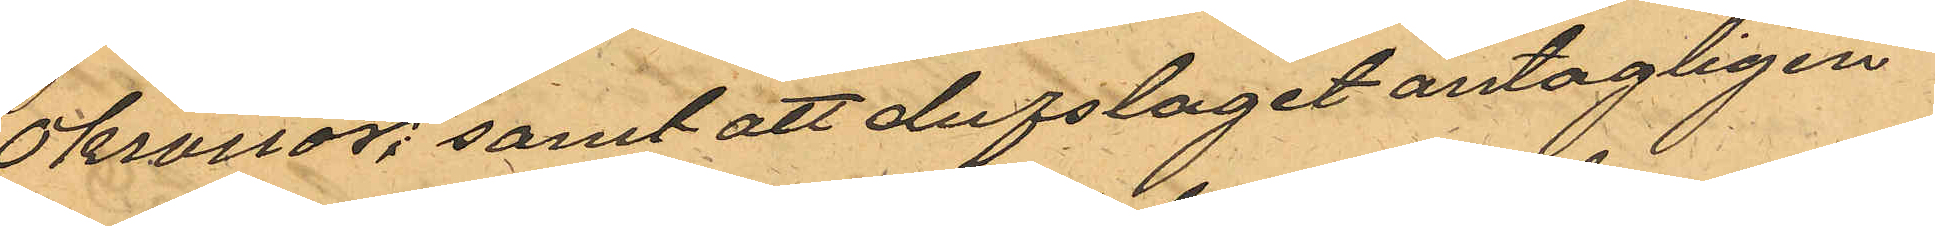10 kronor; samt att dufslaget antagligen
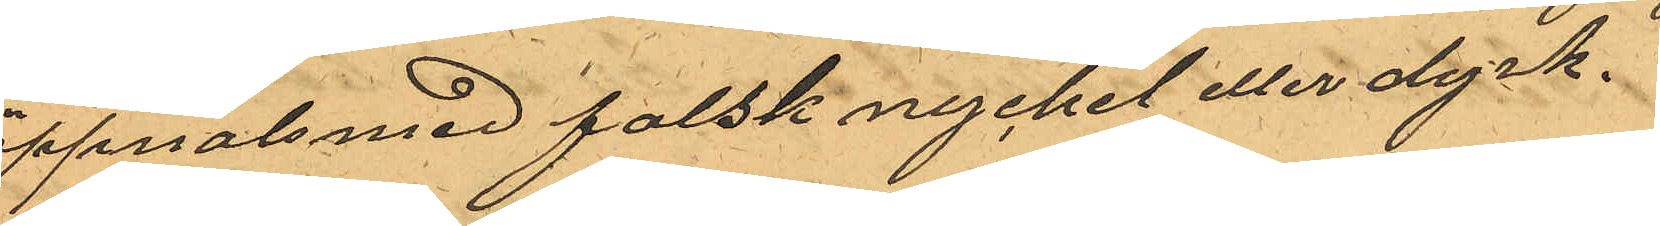öppnats med falsk nyckel eller dyrk.
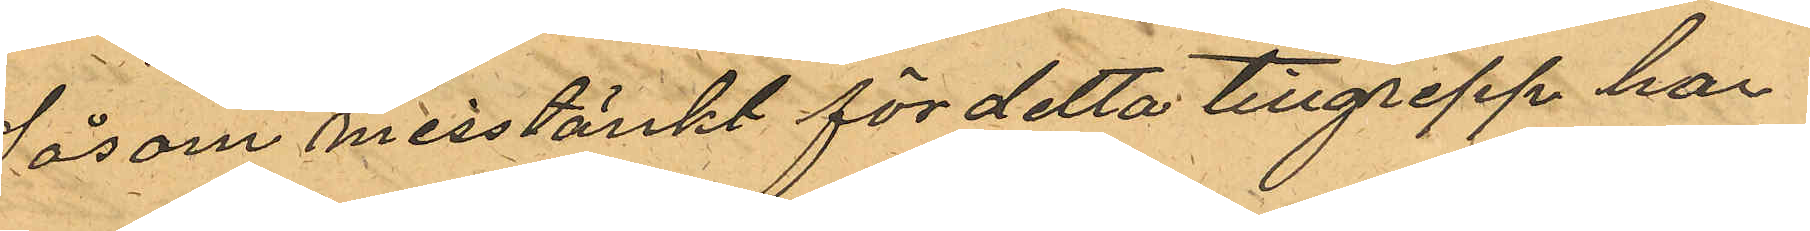Såsom misstänkt för detta tillgrepp har
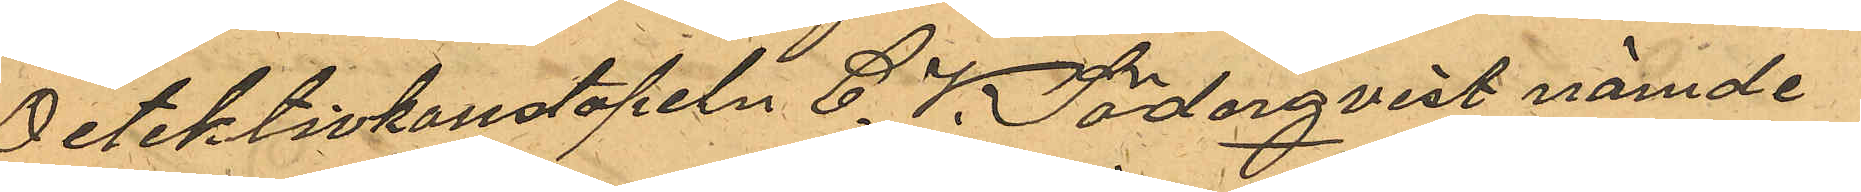Detektivkonstapeln C. V. Söderqvist nämde
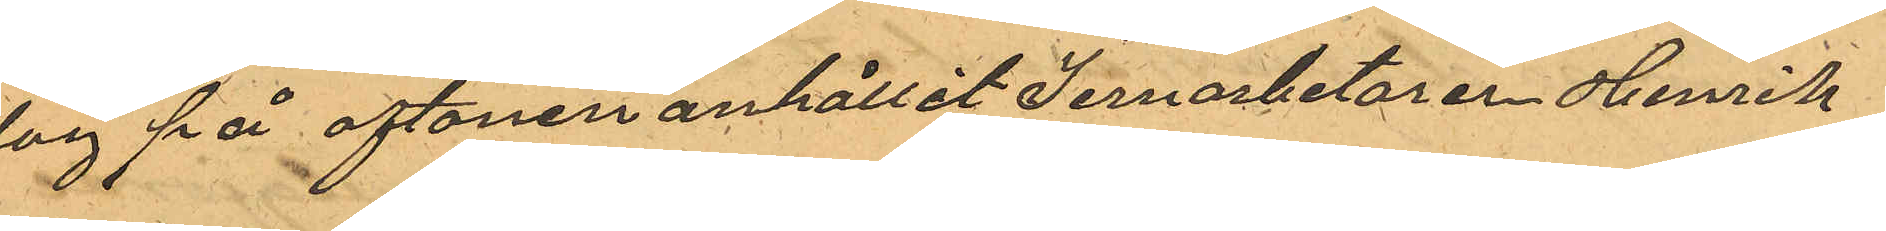dag på aftonen anhållit Jernarbetaren Henrik
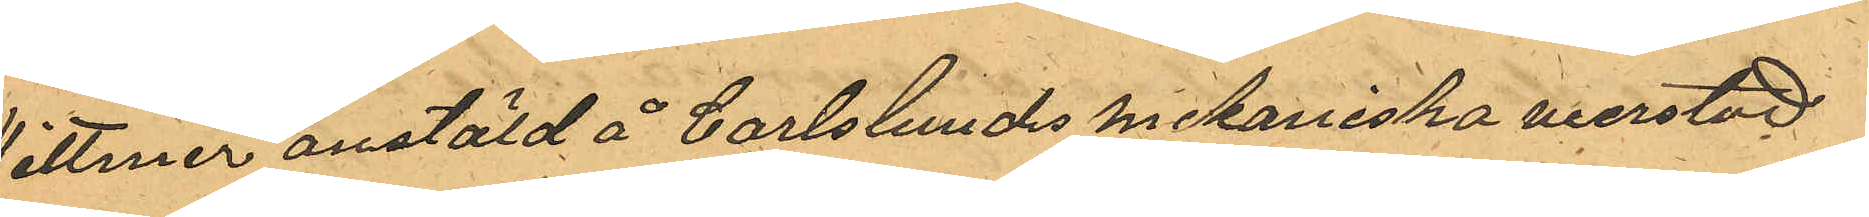Dittmer anstäld å Carlslunds mekaniska werstad
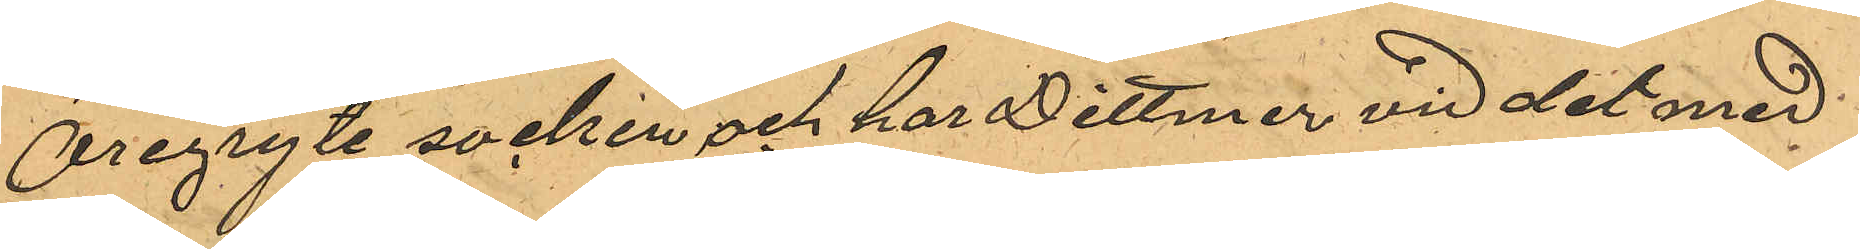i Öregryte socken och har Dittmer vid det med
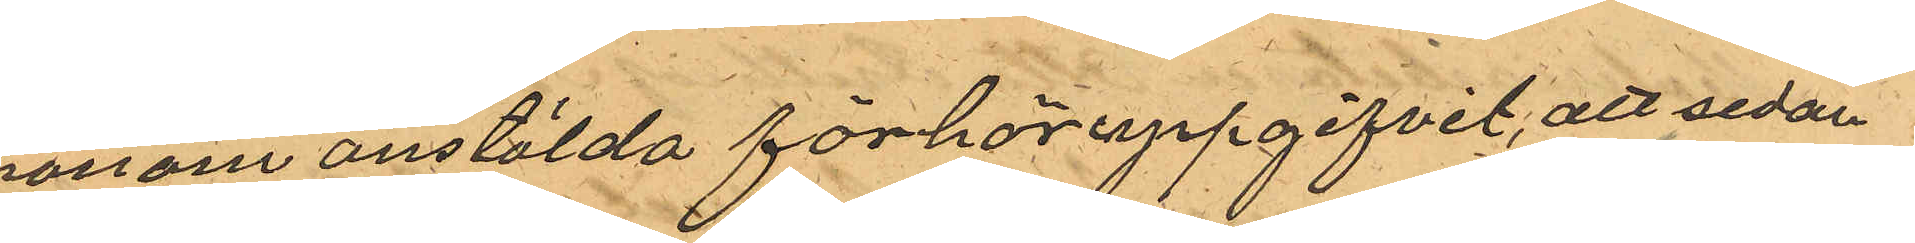honom anstälda förhör uppgifvit, att sedan
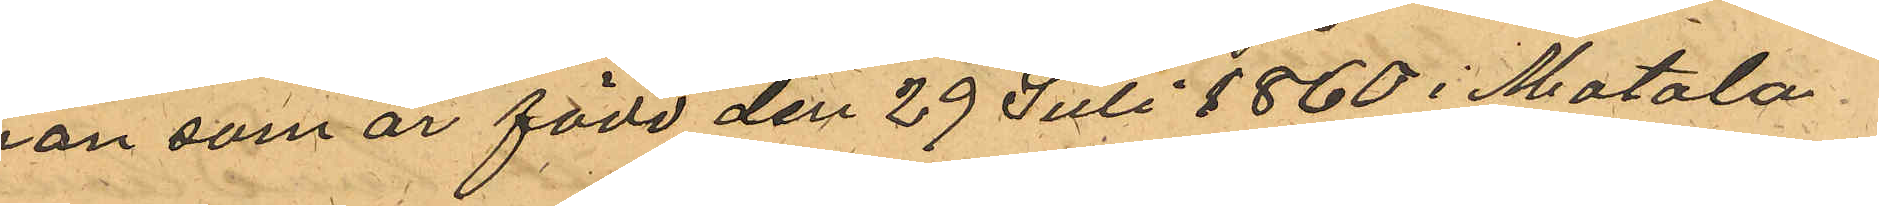han som är född den 29 Juli 1860 i Motala
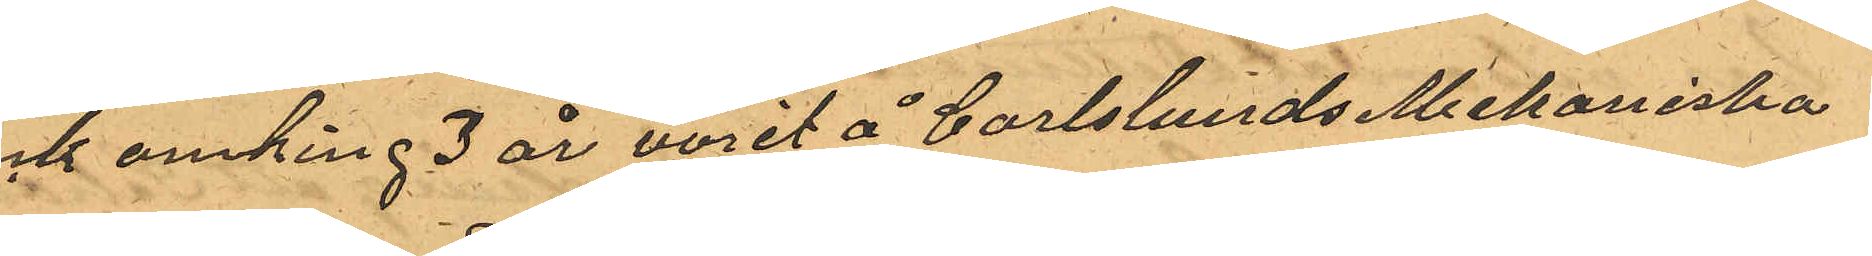och omking 3 år varit å Carlslunds Mekaniska
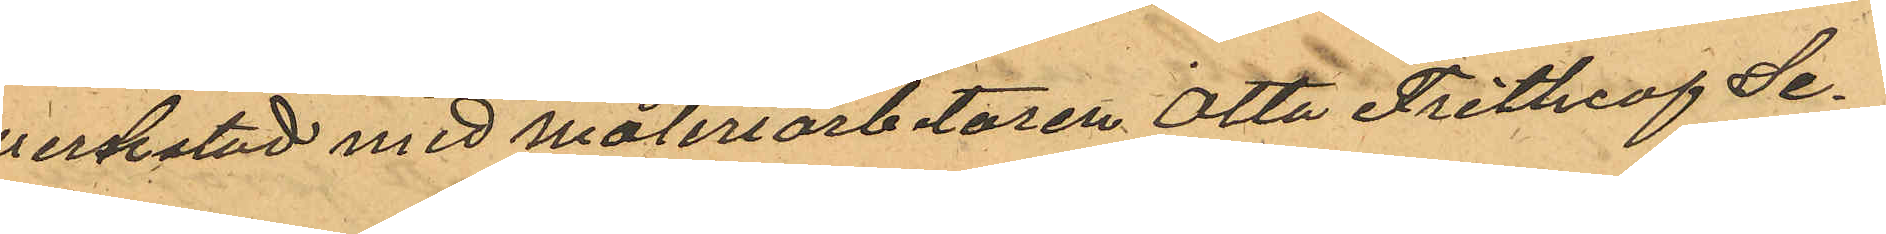werkstad med måleriarbetaren Otto Frithiof Se¬
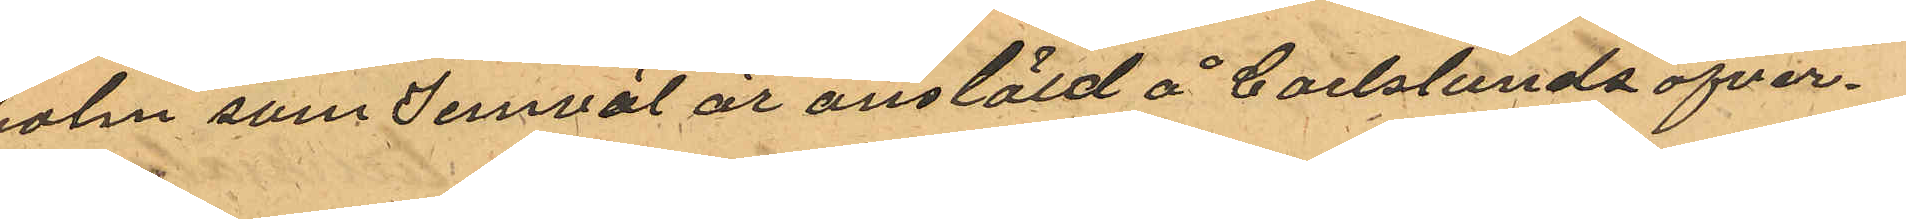holm som jemväl är anstäld å Carlslunds öfver¬
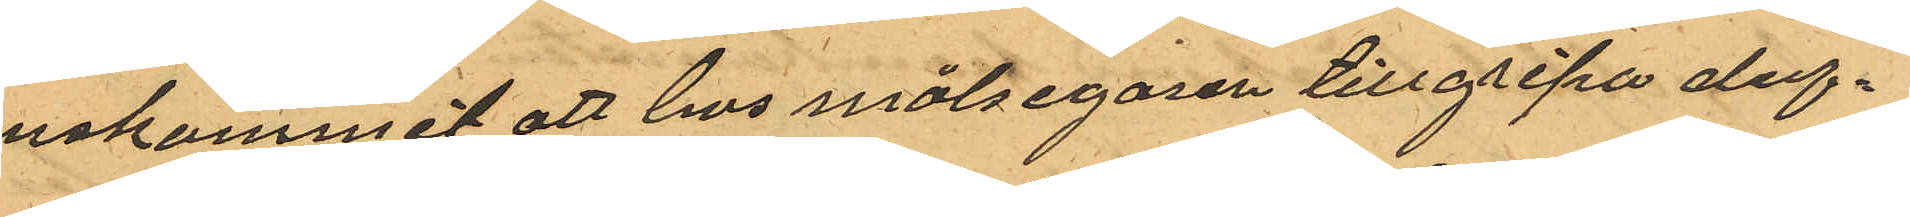enskommit att hos målsegaren tillgripa duf¬
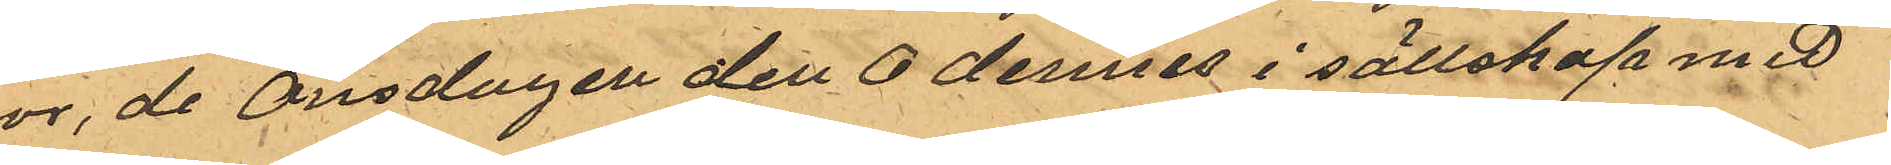vor, de Onsdagen den 6 dennes i sällskap med
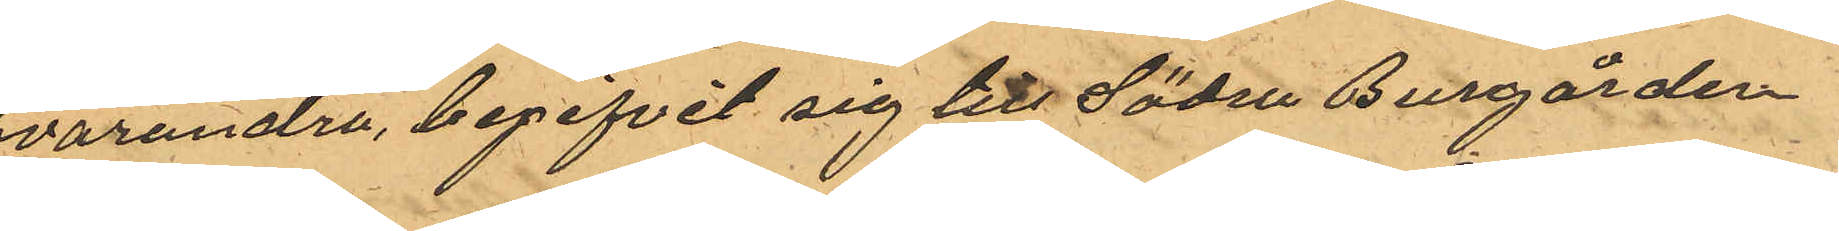hvarandra, begifvit sig till Södra Burgården
